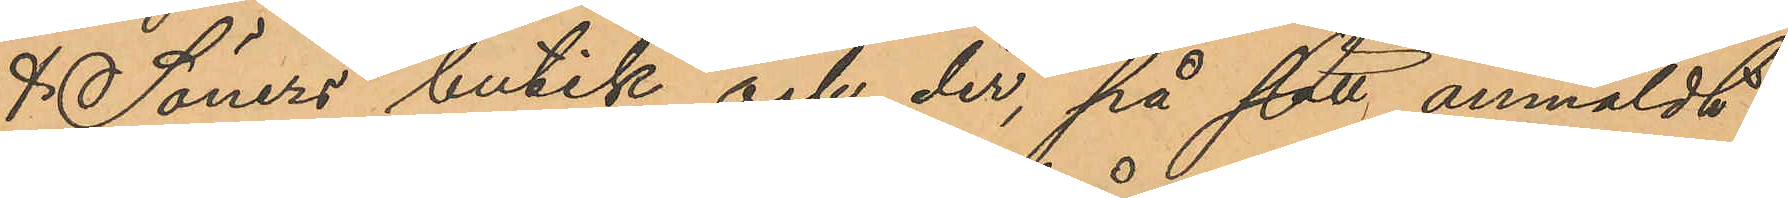& Söners butik och der, på sätt anmäldt
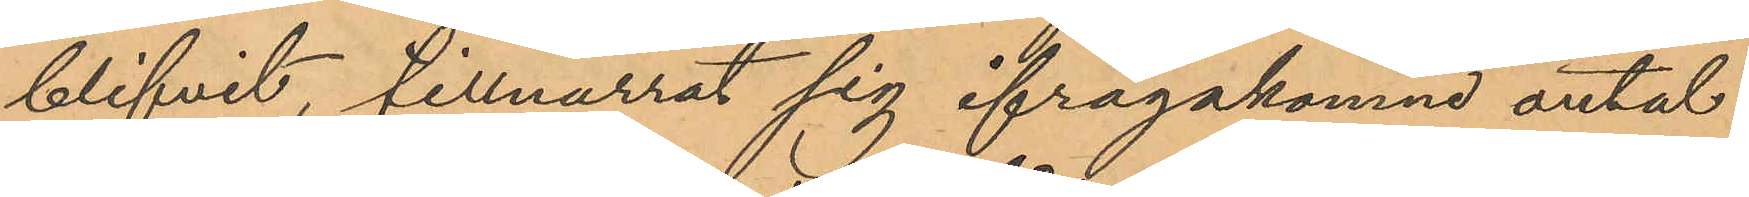blifvit, tillnarrat sig ifrågakomne antal
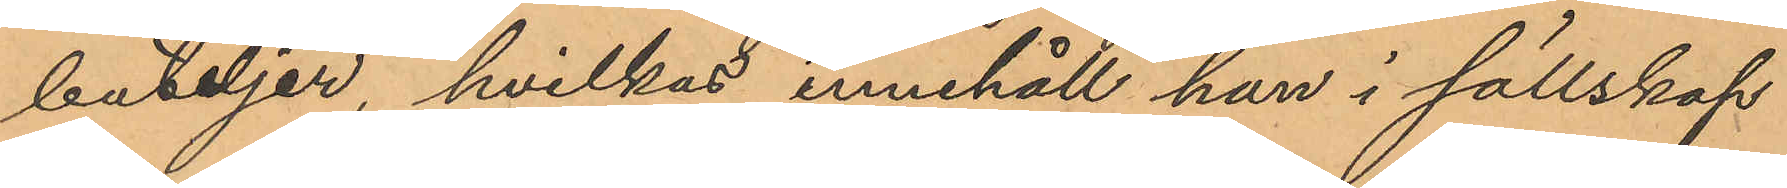buteljer, hvilkas innehåll han i sällskap
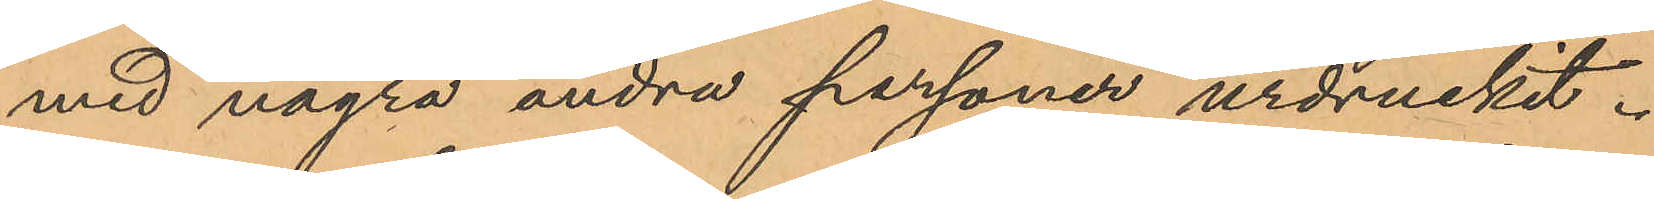med några andra personer urdruckit.
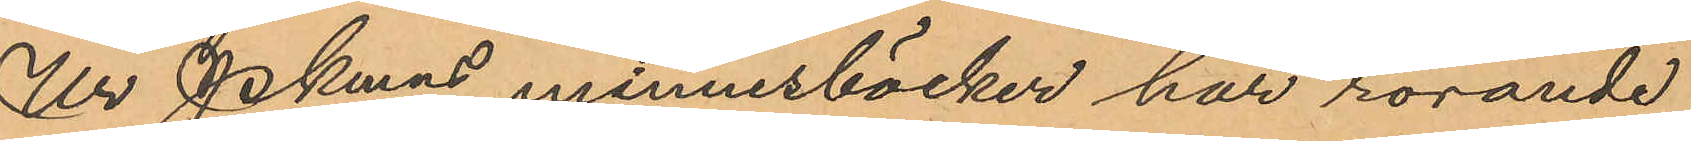Ur Pkmns minnesböcker har rörande
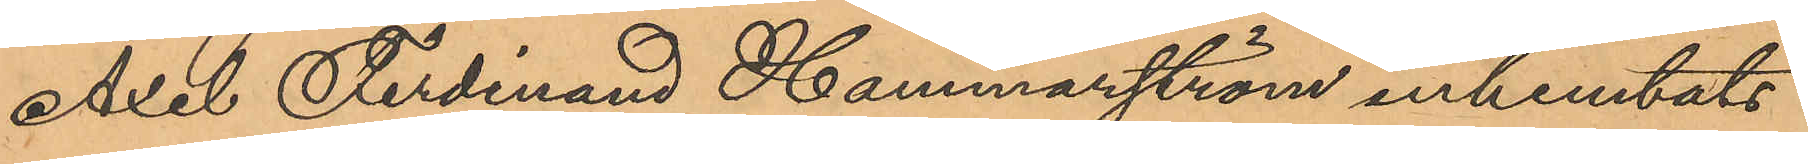Axel Ferdinand Hammarström inhemtats
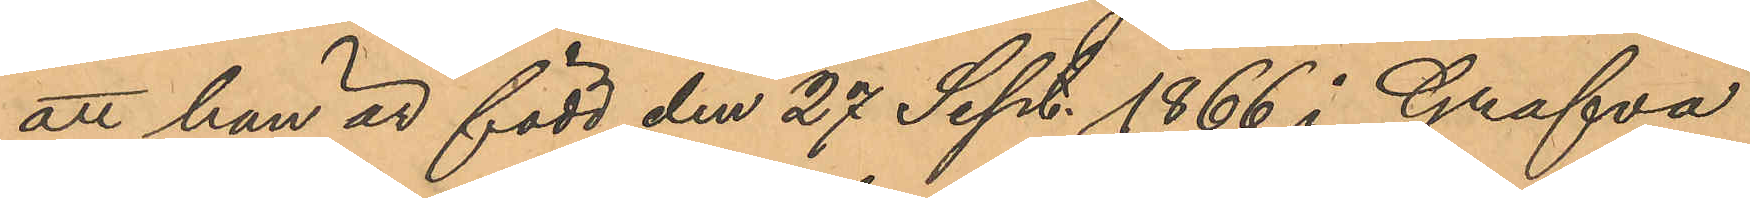att han är född den 27 Sept. 1866 i Grafva
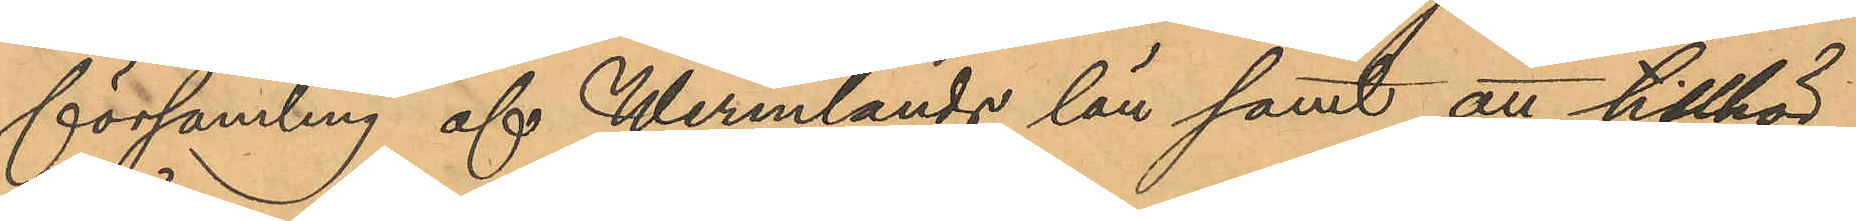församling af Wermlands län samt att tillhör
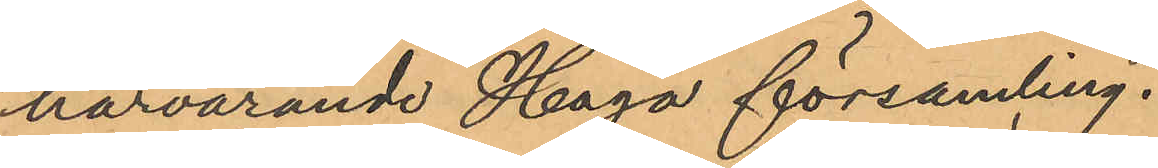härvarande Haga församling.
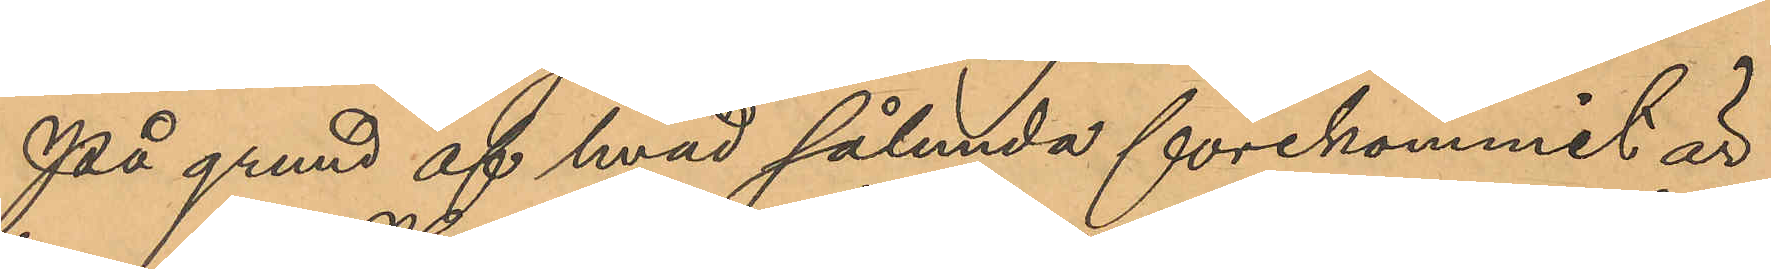På grund af hvad sålunda förekommit är
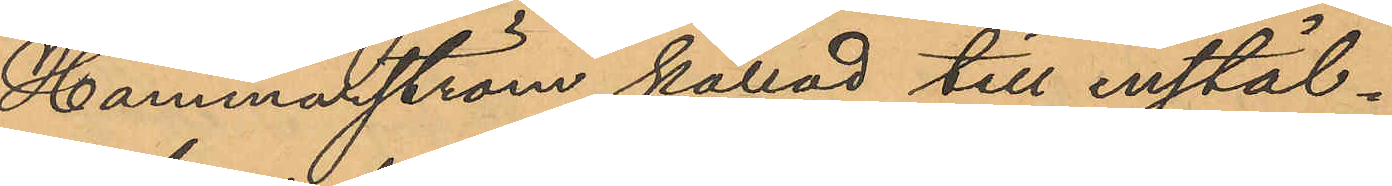Hammarström kallad till instäl¬
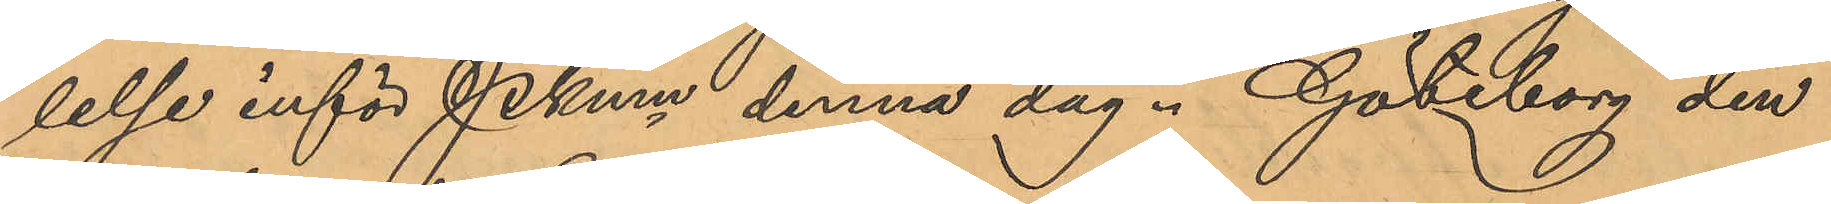lelse inför Pkmn denna dag. Göteborg den
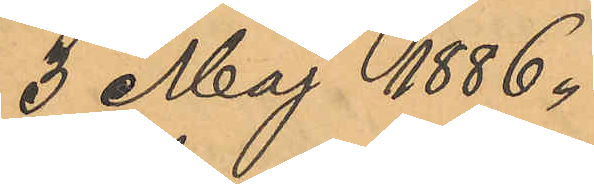3 Maj 1886.
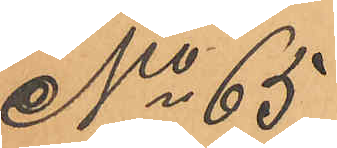No 65
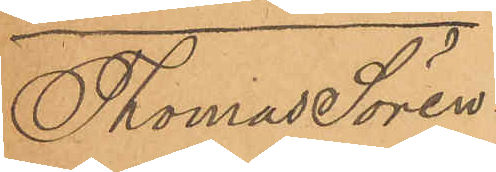Thomas Sören¬
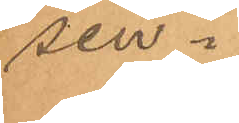sen.
